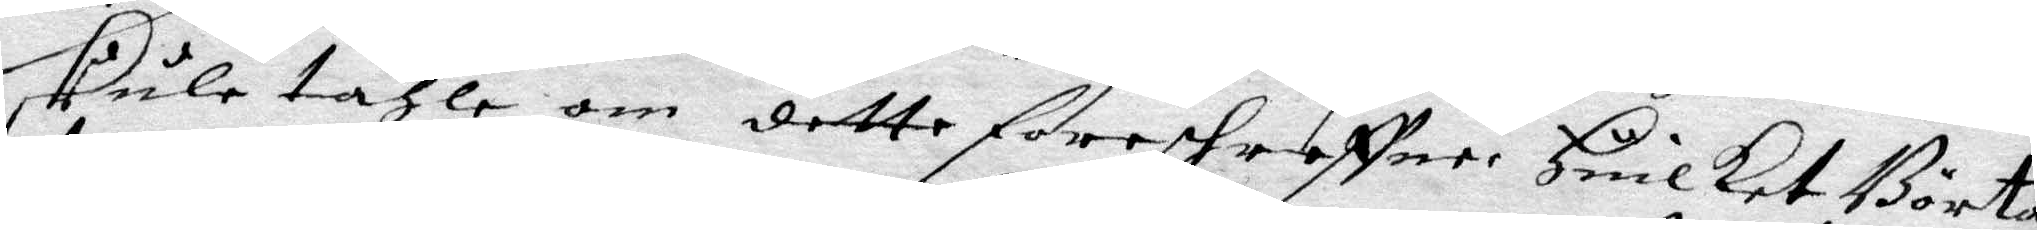skule tahle om dette föreskreffne. Huilket Börta
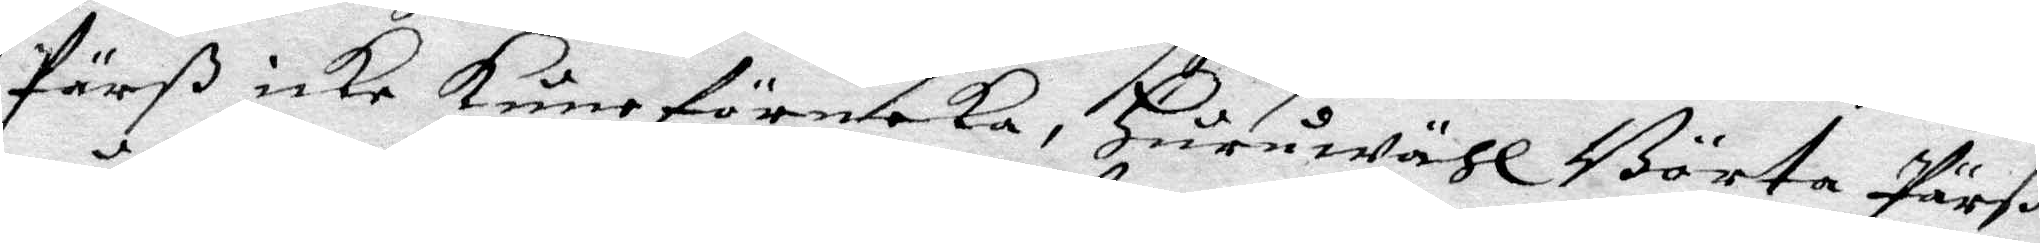Pärß icke kune förnleka, Huruwähl Börta Pärß
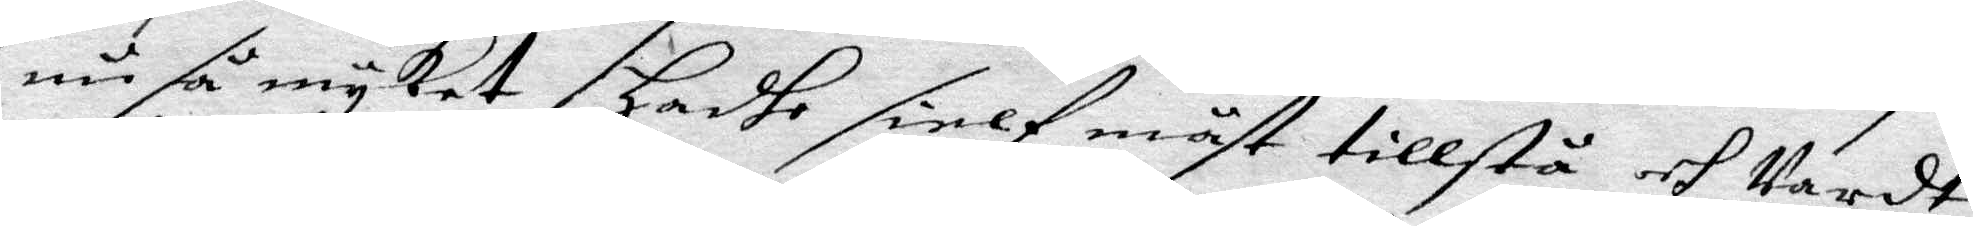nu så myket, Hadhe sielf måst tillstå och wardt
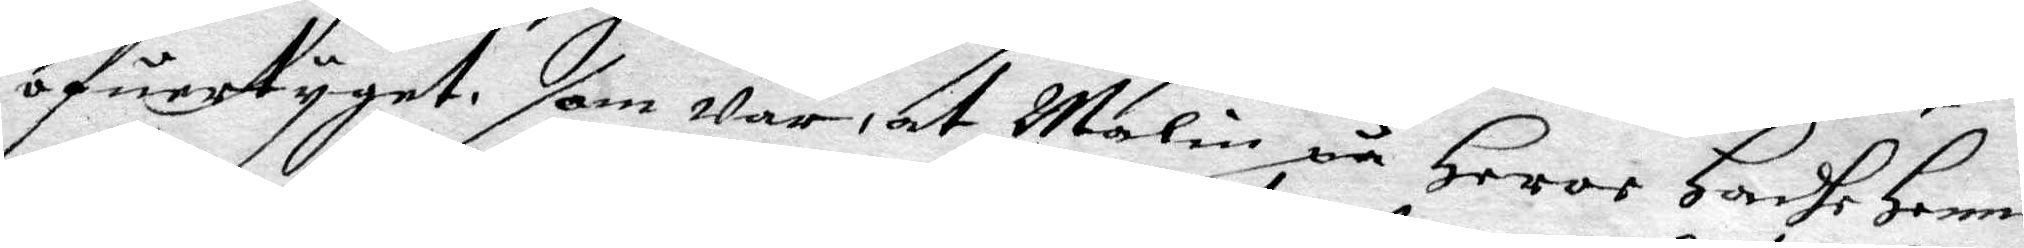öfuertygat, som war, at Malin på Heros Hadhe Henne
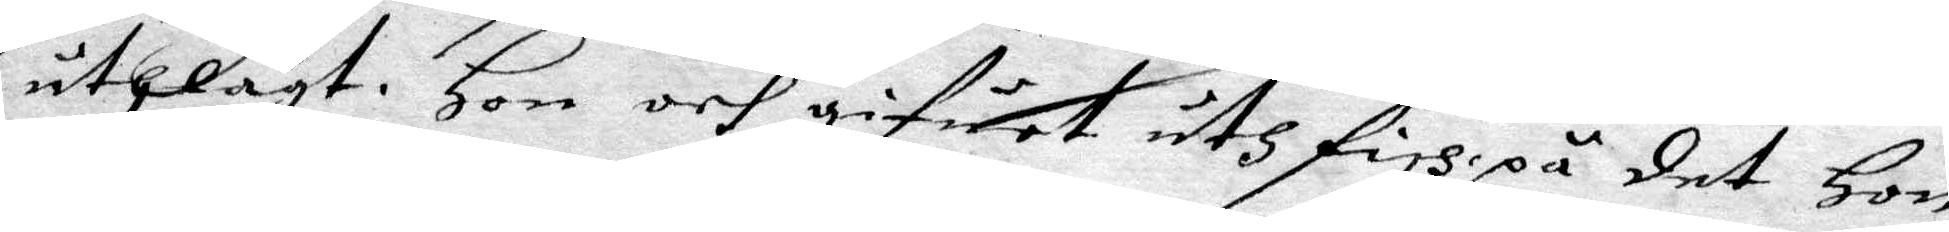uthlagt. Hon och gifuet uth fish på det Hon
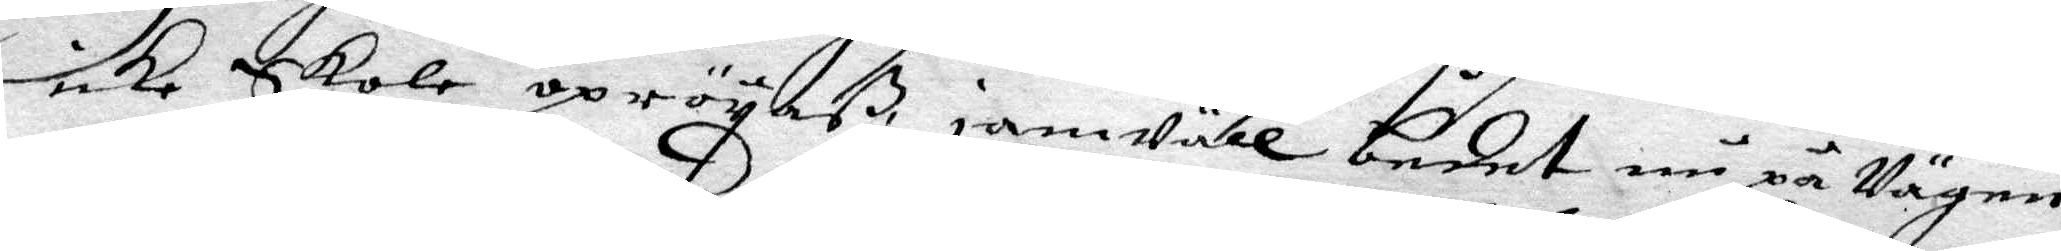icke Skole opröyaß, jämwäll bedet nu på Wägen
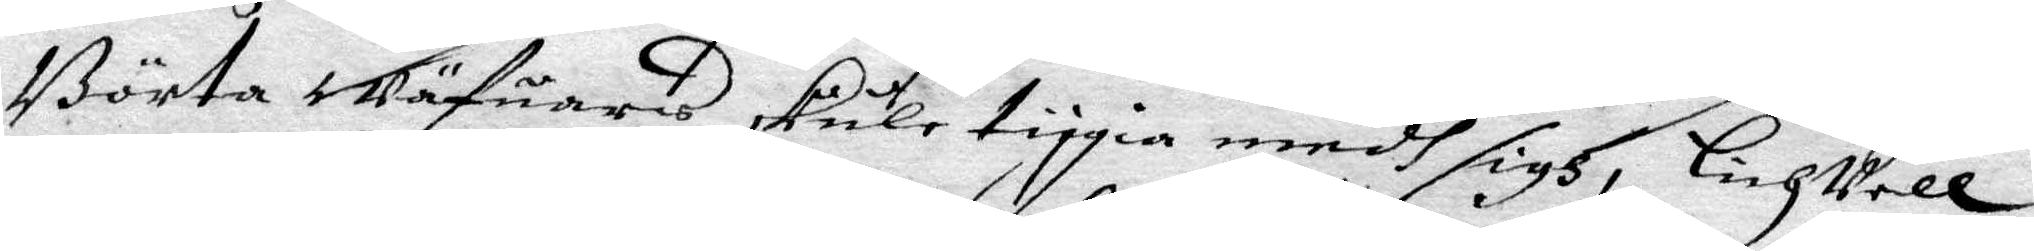Börta Wäfuares skule tiggia medh sigh, lichhwell
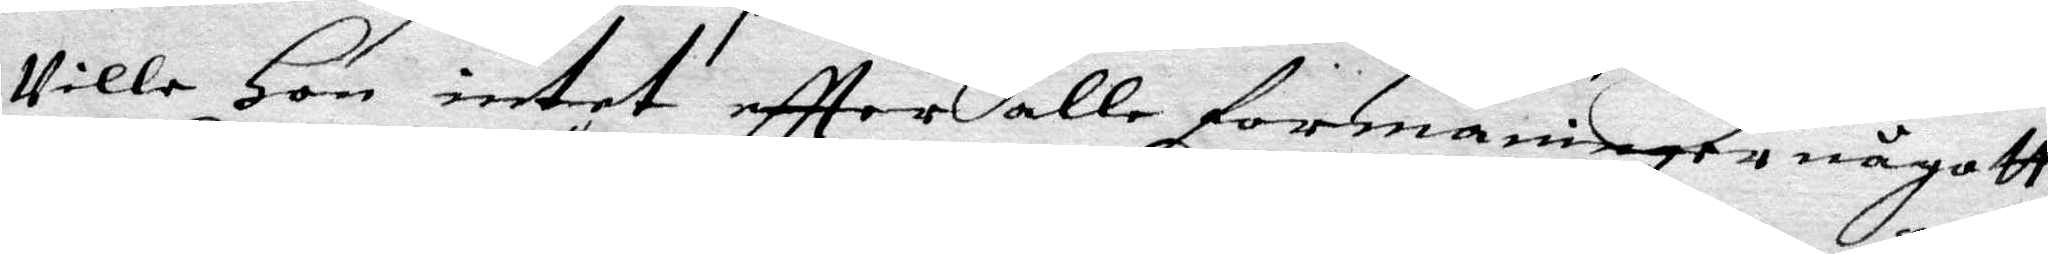wille Hon intet eftter alle förmaninger någott
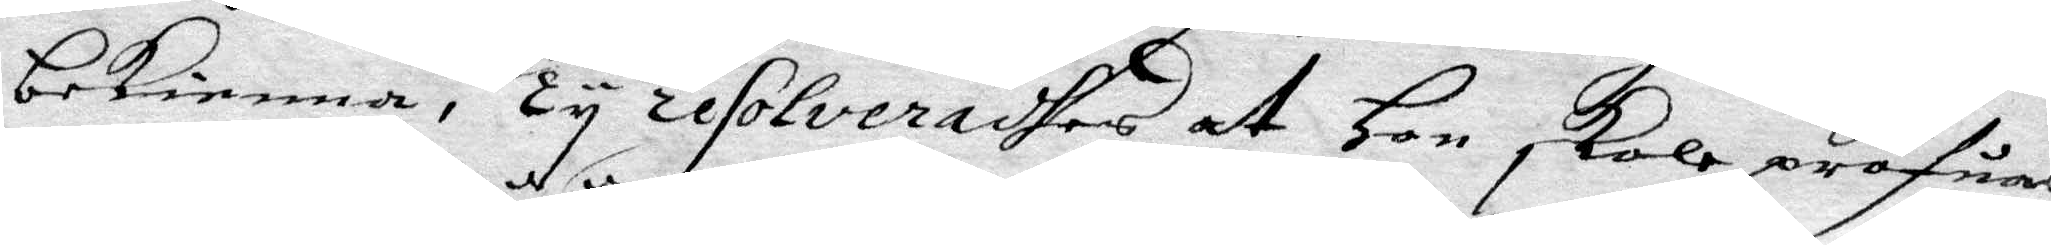bekienna, Ty resolveradhes at Hon skole pröfuas
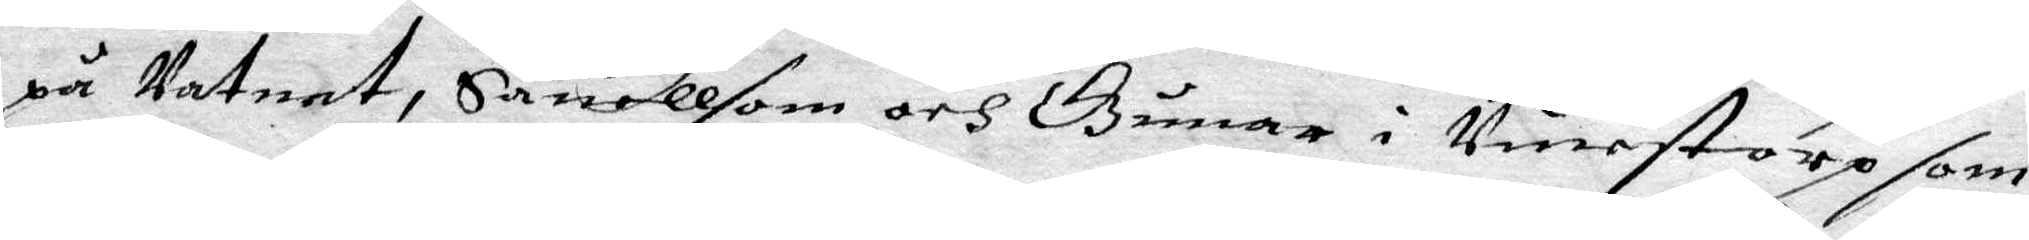på Watnet, Säuellsom och Gunar i Vinestorp som
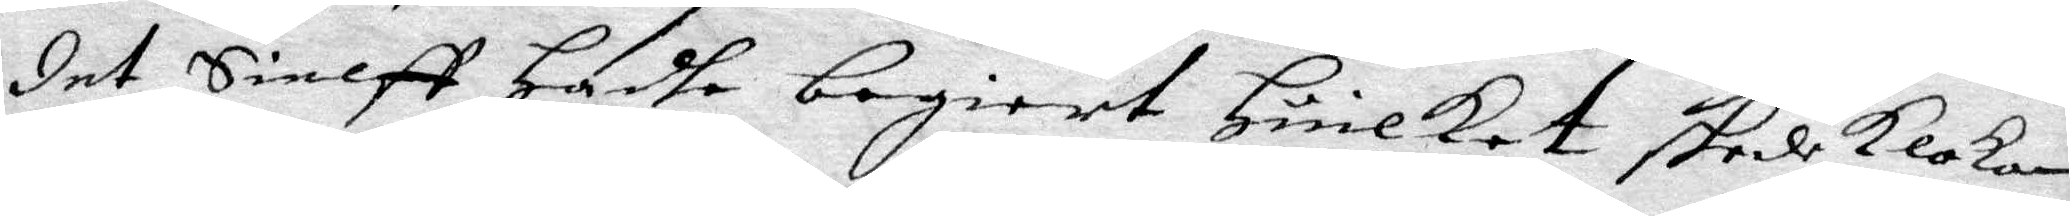det Sielff Hadhe begiärt Huilket skede klokan
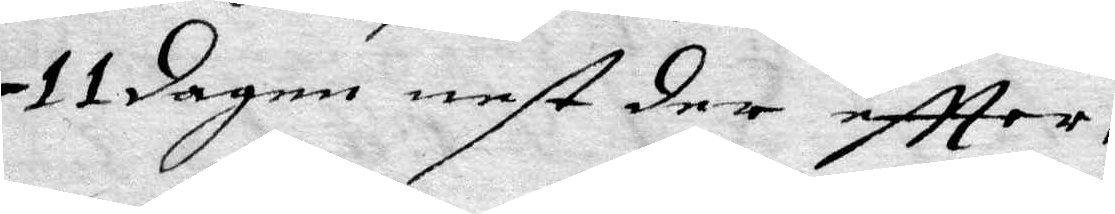11 dagen nest der eftter.
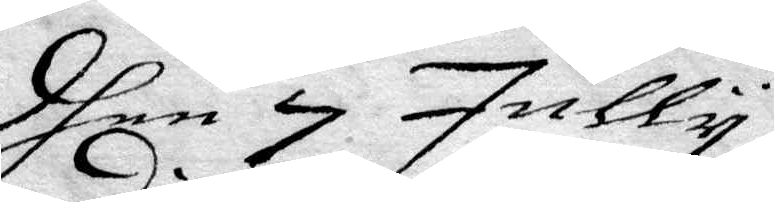dhen 29 Jully.
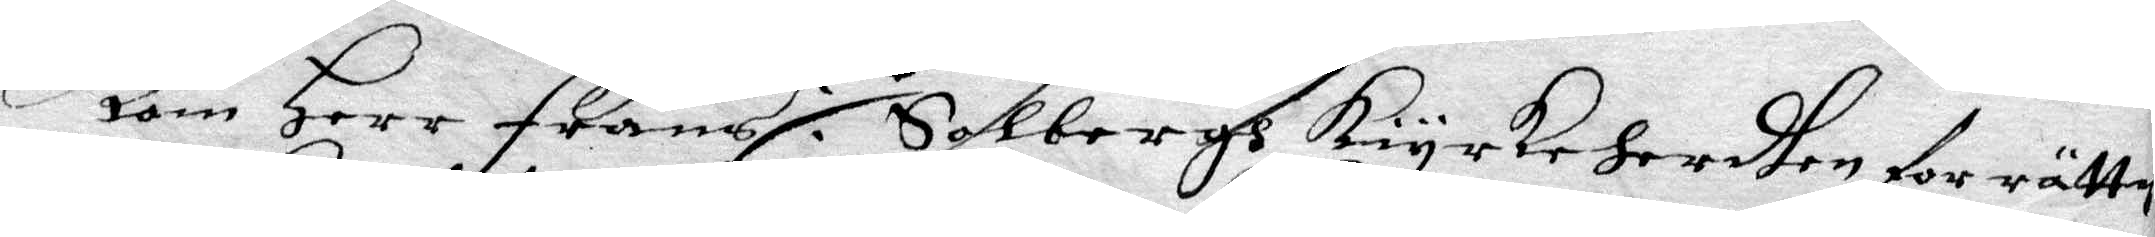kom Herr frans i Salbergh Kiyrkeherdhen för rätten
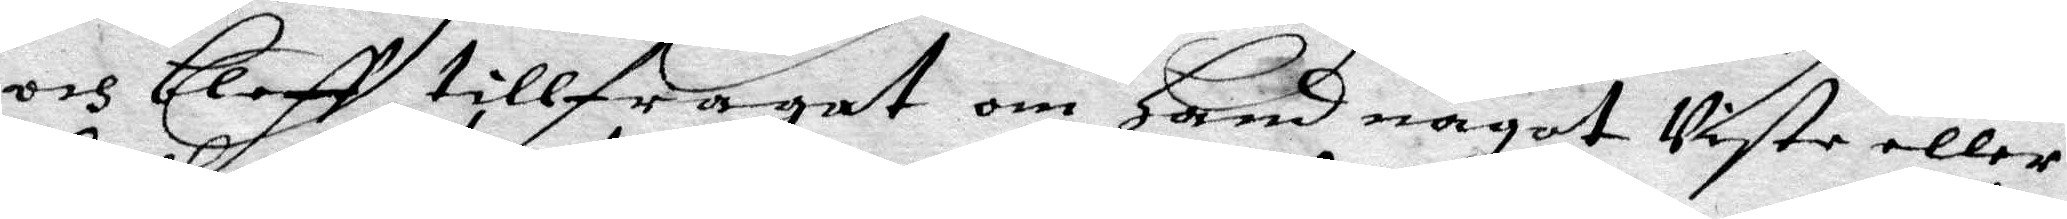och bleff tillfragat om Hand något Viste eller
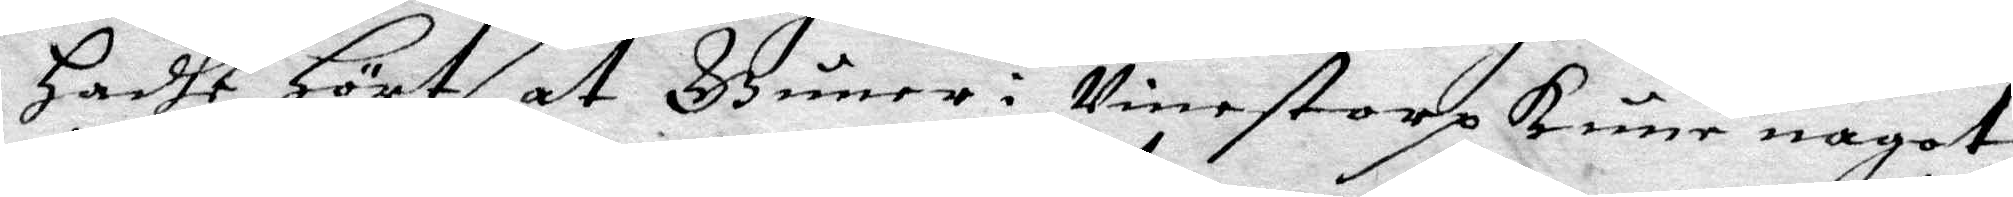hadhe Hört at Guner i Vinestorp kune nagot
